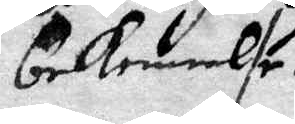bekennlse 
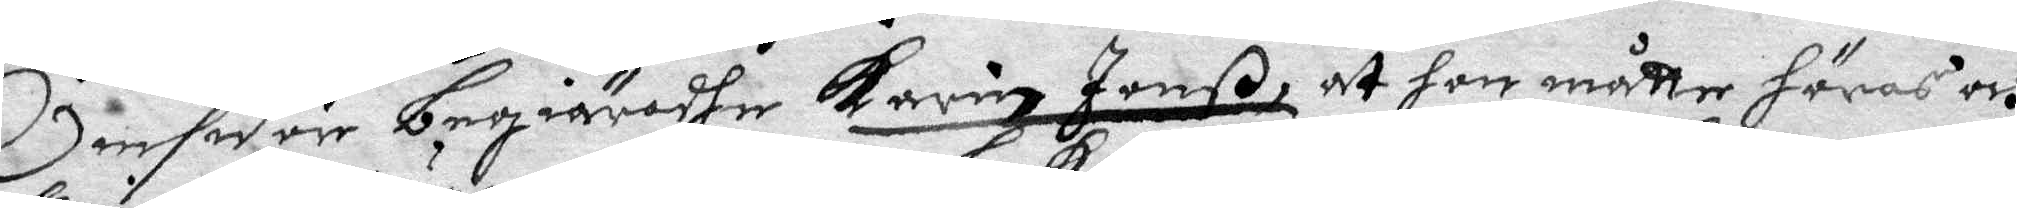Omsider begiäradhe Karing Jonß, at hon måtte höras och
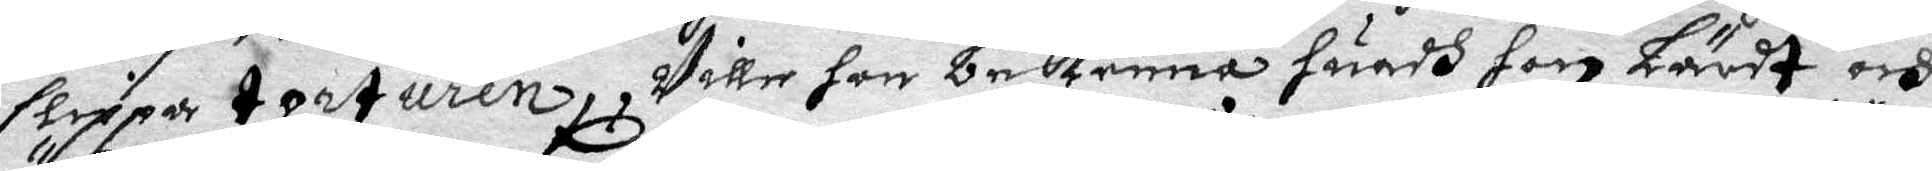slippa torturen, wille hon bekenna huadh hon Lärdt och
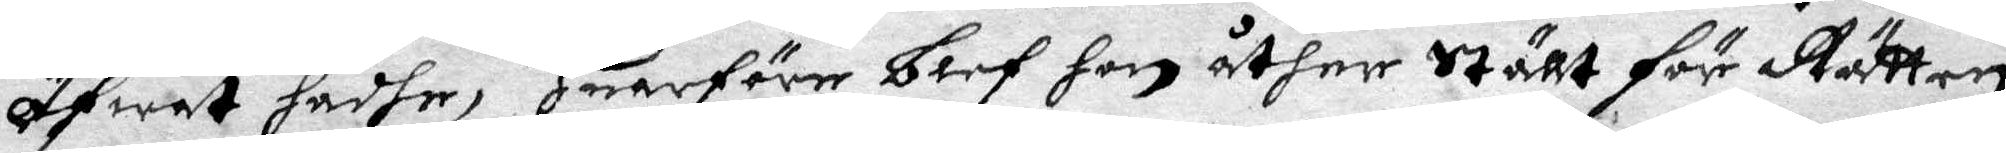öfwat hadhe, hwarförr blef hon åther Ställt för Rätten
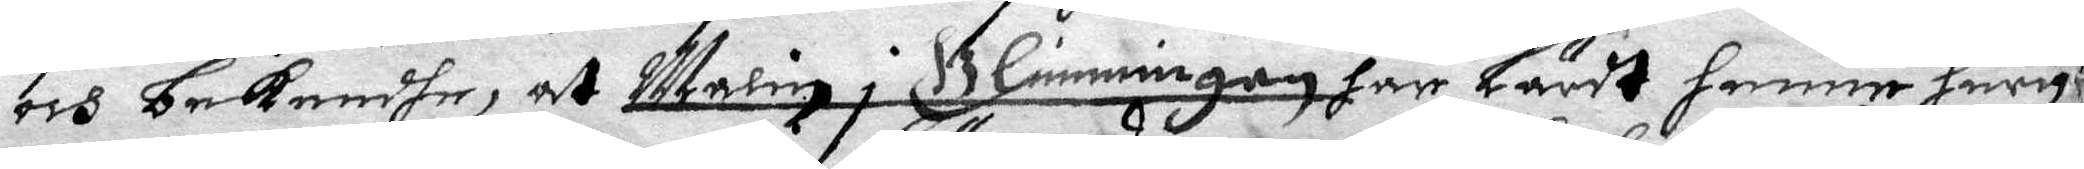och bekendhe, at Malin i Glimmingen har lärdt henne huru
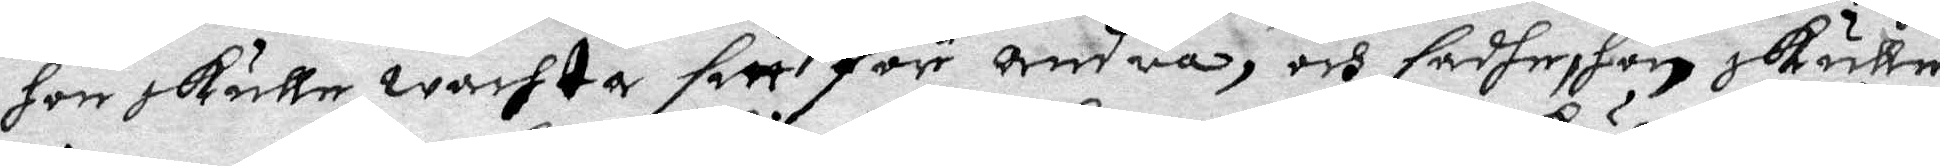hon skulle wachta sitt för andra, och sadhe, hon skulle
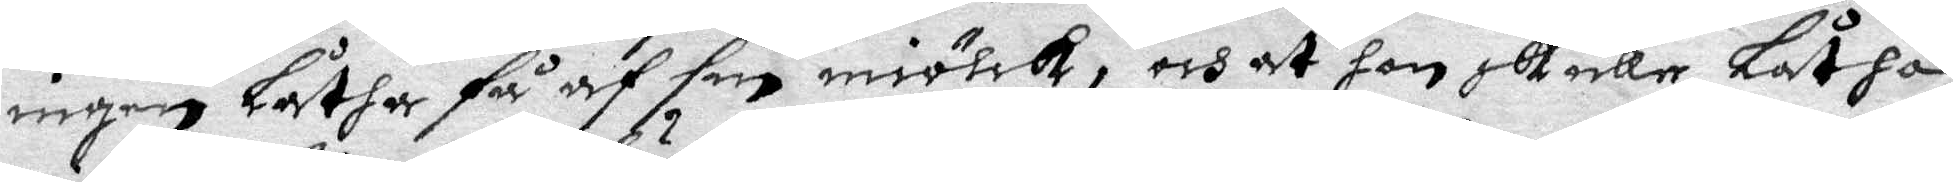ingen Låtha få af sin miölck, och at hon skulle låtha
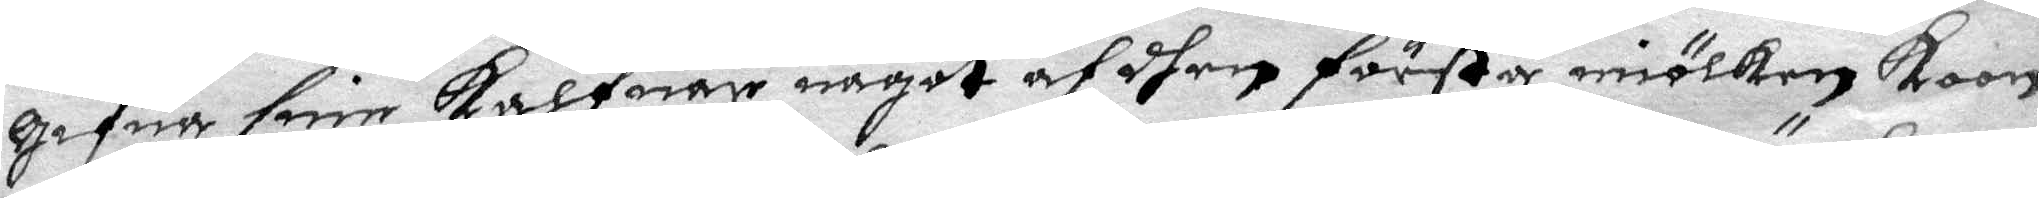gifua sine kalfuar något af dhen förste miölken Koon
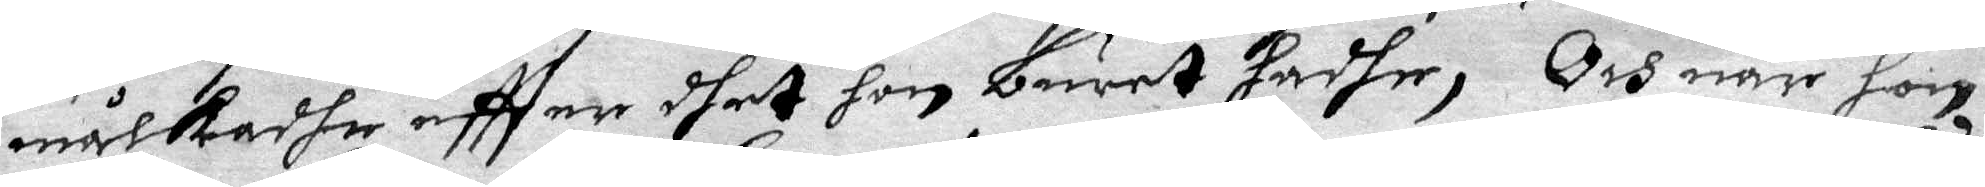målkadhe effter dhet hon buret hadhe, Och när hon
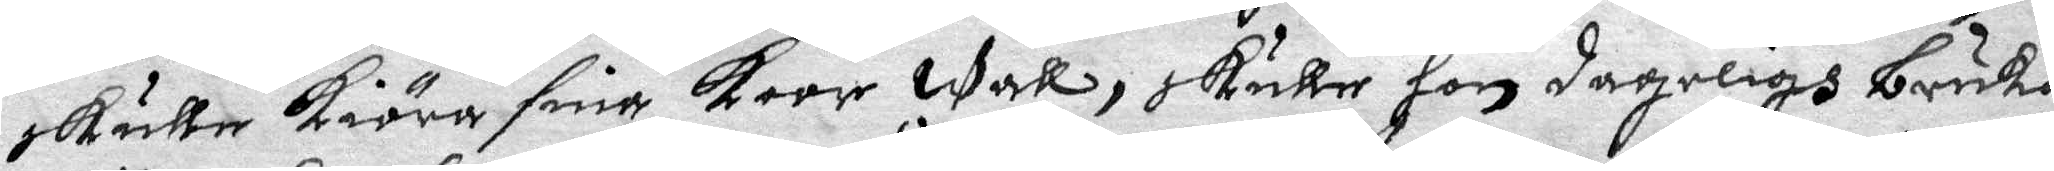skulle kiöra sina koor wall, skulle hon dageligh bruka
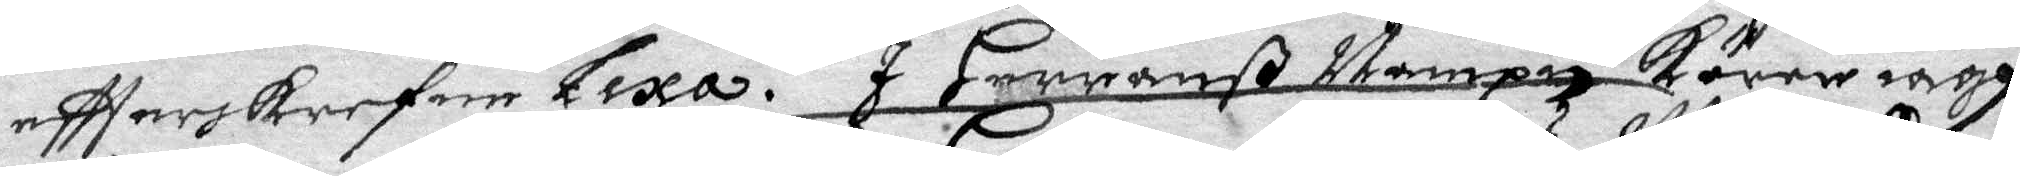effterskrefne Lexa. I Herranß Nampn körer iagh
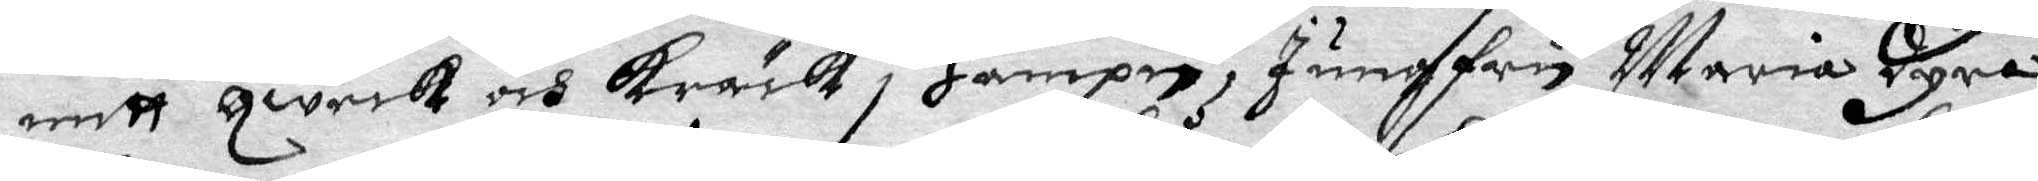mitt qweck och Kräck i Hampn, Jungfru Maria dyra,
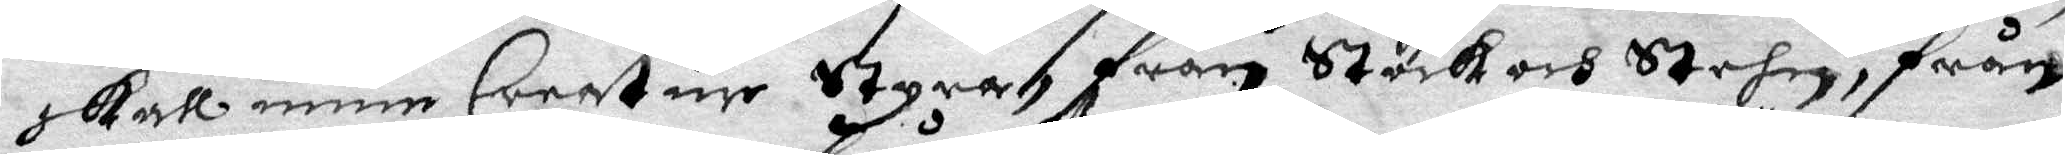skall min Creatur Styra, från Stock och Stehn, från
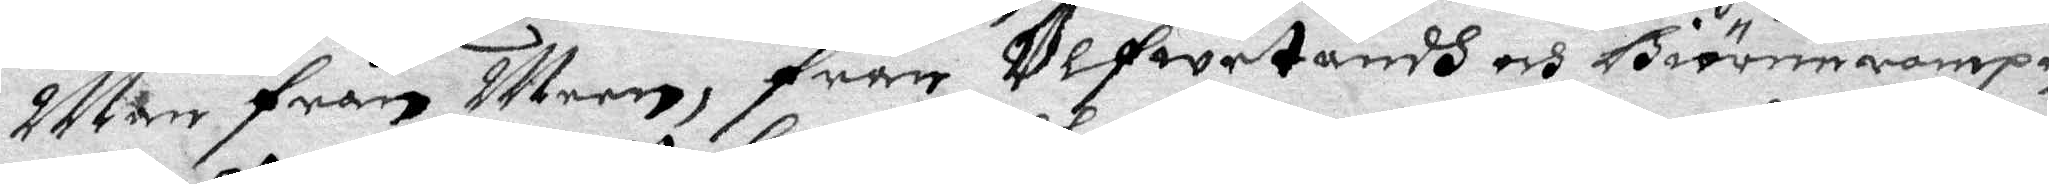Man från Meen, från Ulfwetandh och Biörnerampn
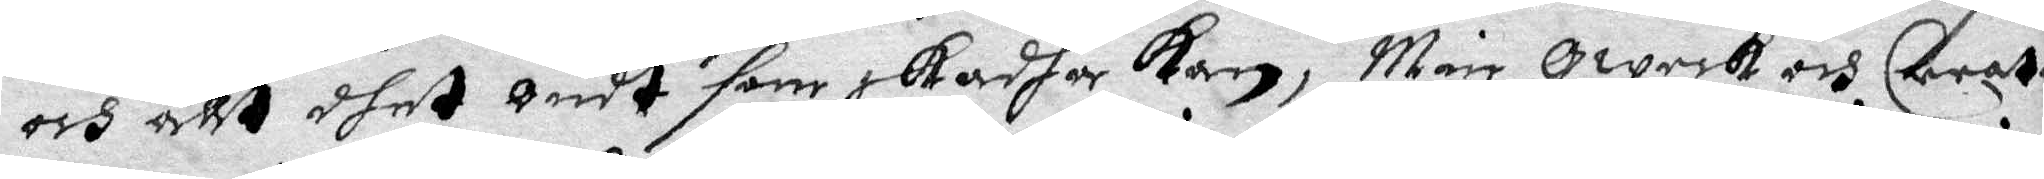och allt dhet ondt som skadha kan, Min qweck och Creat
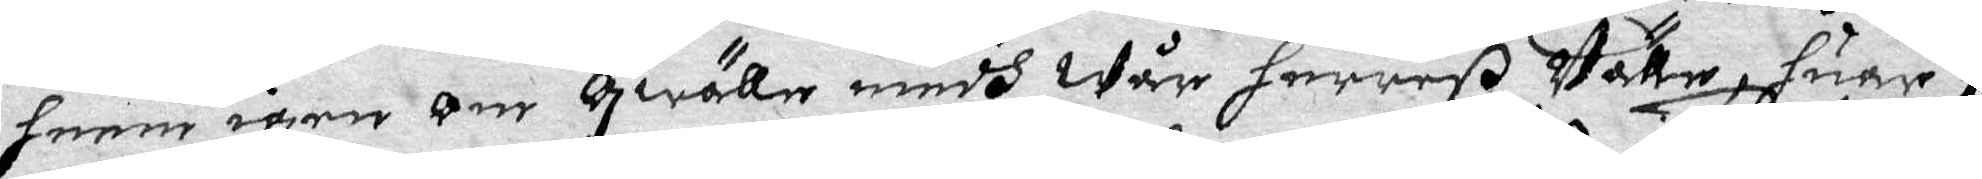henne igen om qwälle medh Wår herreß Välle, huar i
